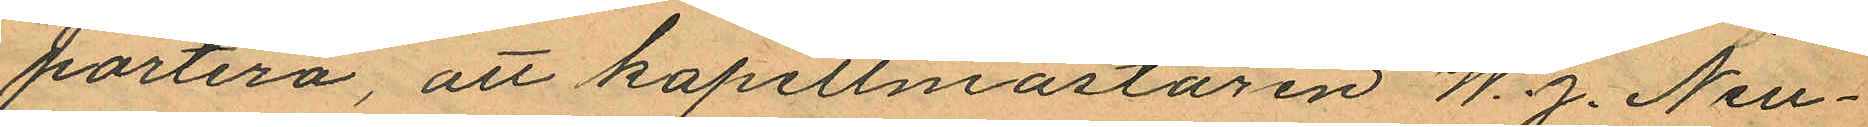portera, att kapellmästaren W. J. Neu¬
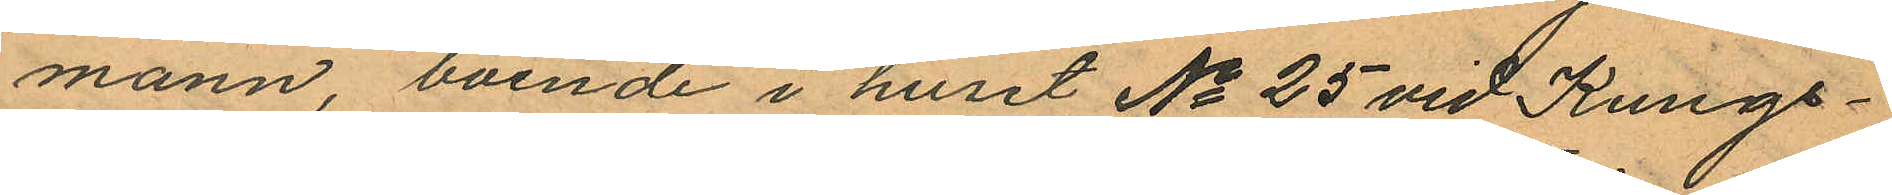mann, boende i huset No 25 vid Kungs¬
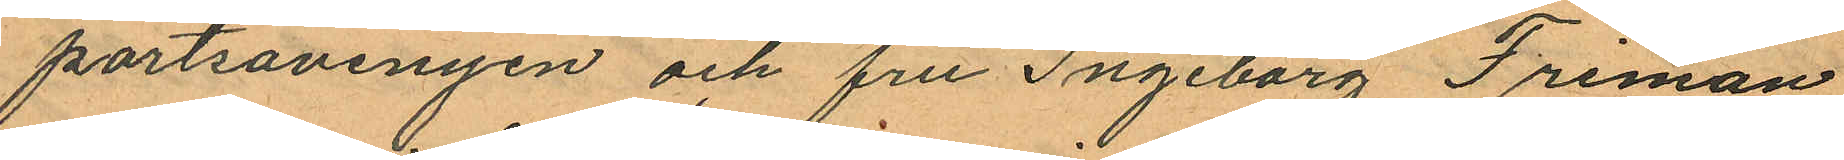portsavenyen och fru Ingeborg Friman
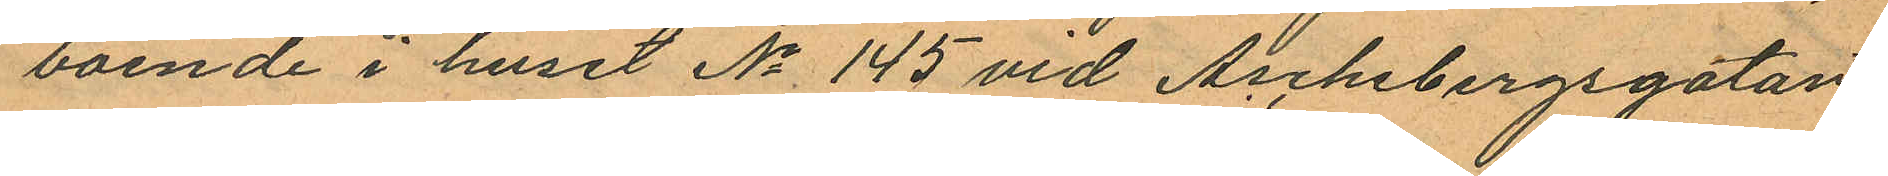boende i huset No 145 vid Aschebergsgatan
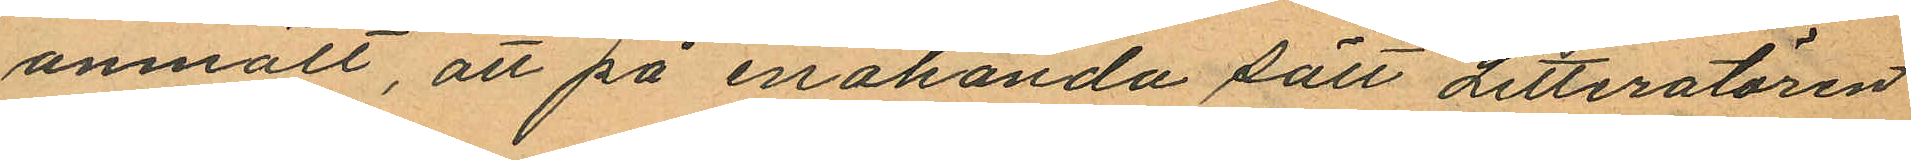anmält, att på enahanda sätt Litteratören
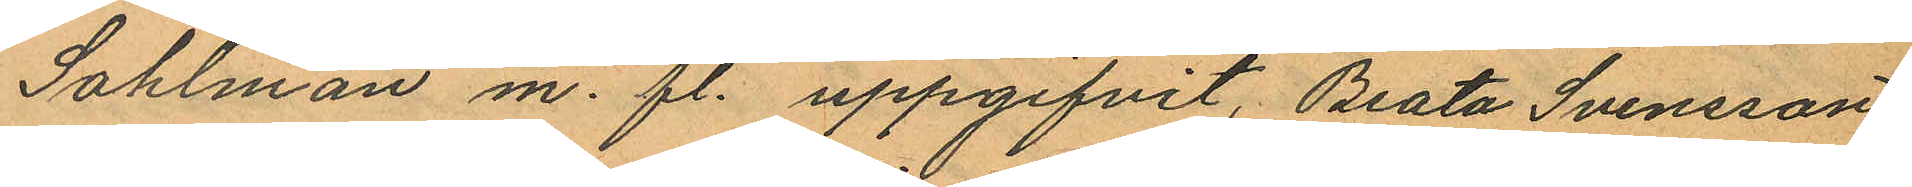Sohlman m. fl. uppgifvit, Beata Svensson
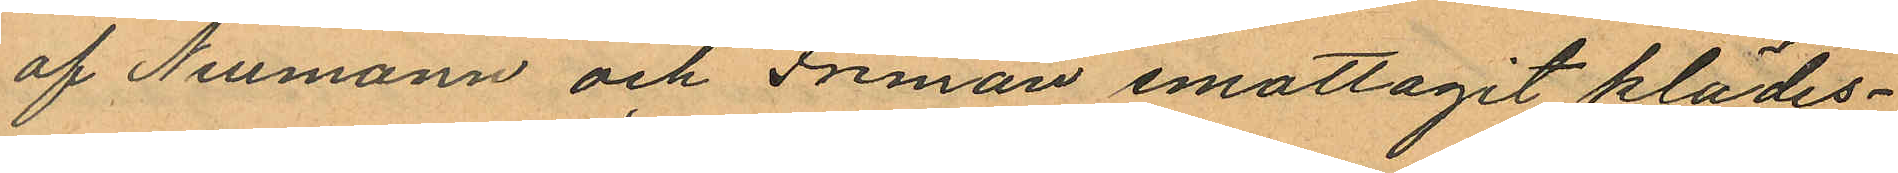af Neumann och Friman emottagit klädes¬
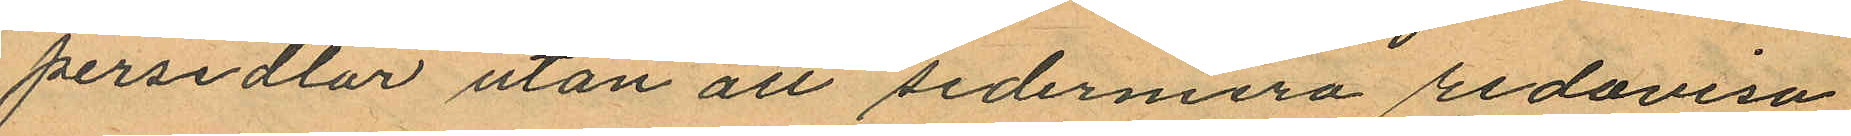persedlar utan att sedermera redovisa
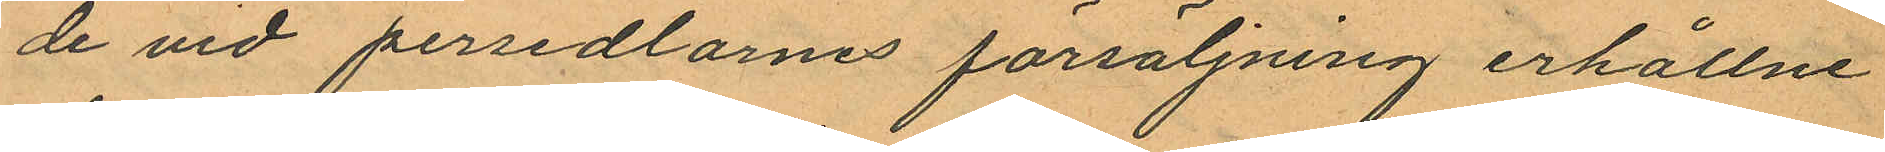de vid persedlarnes försäljning erhållne
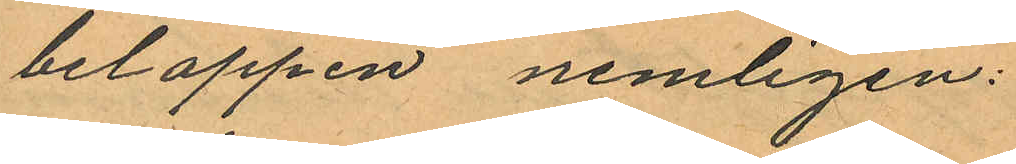beloppen nemligen:
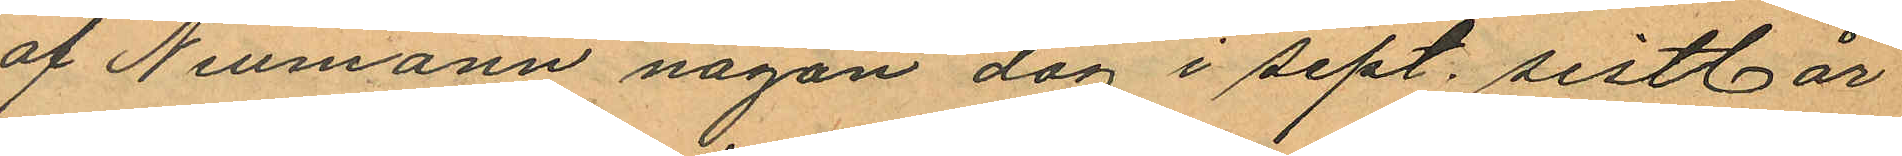af Neumann någon dag i sept. sistl. år
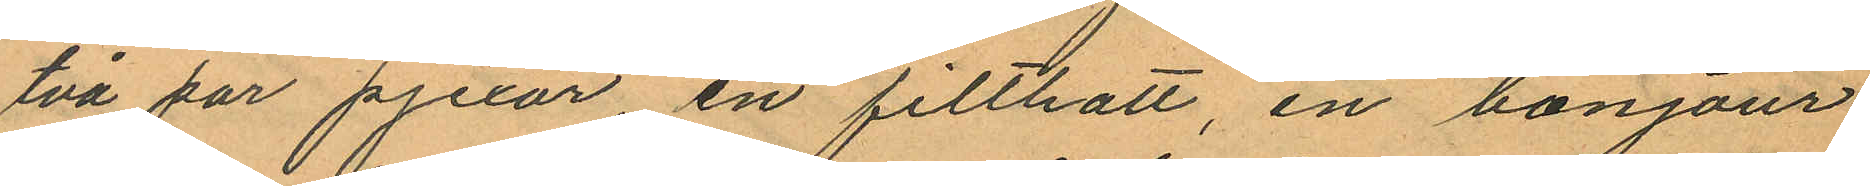två par pjexor, en filthatt, en bonjour
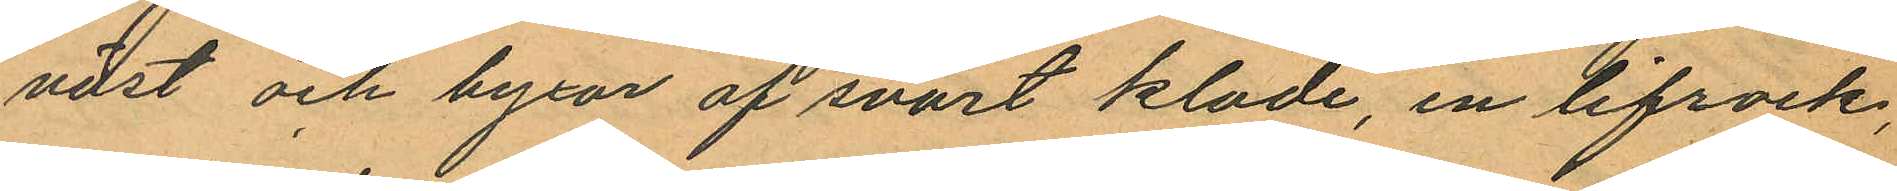väst och byxor af svart kläde, en lifrock,
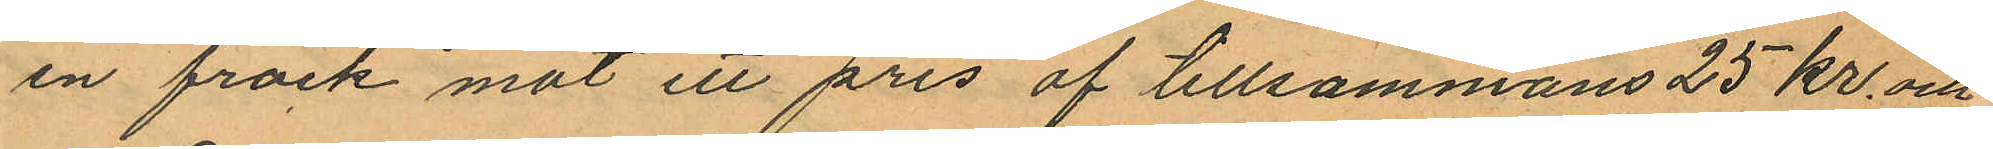en frack mot ett pris af tillsammans 25 kr. och
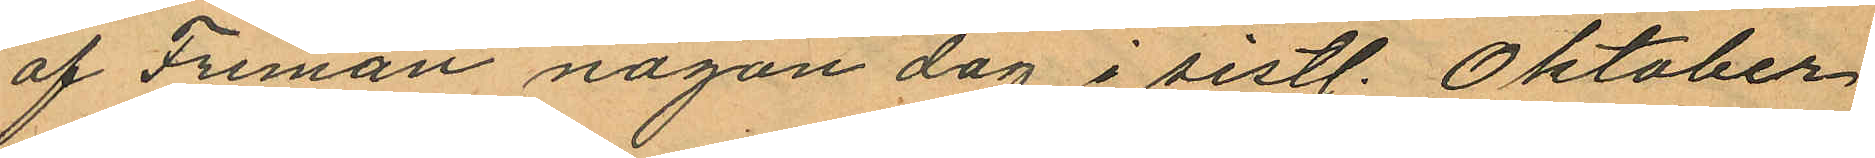af Friman någon dag i sistl. Oktober
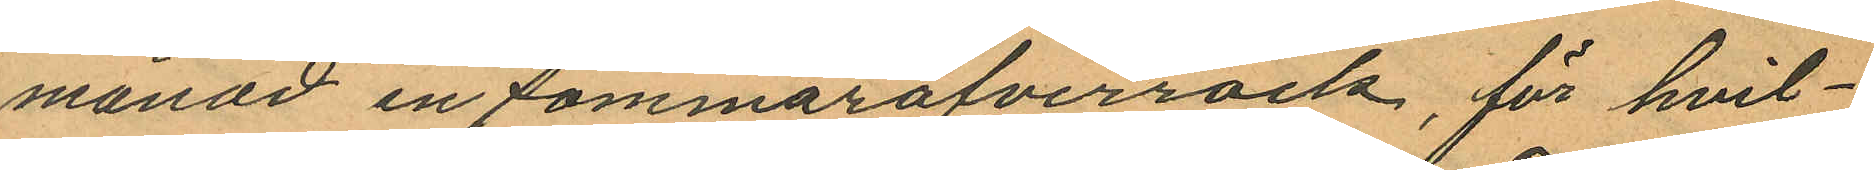månad en sommaröfverrock, för hvil¬
